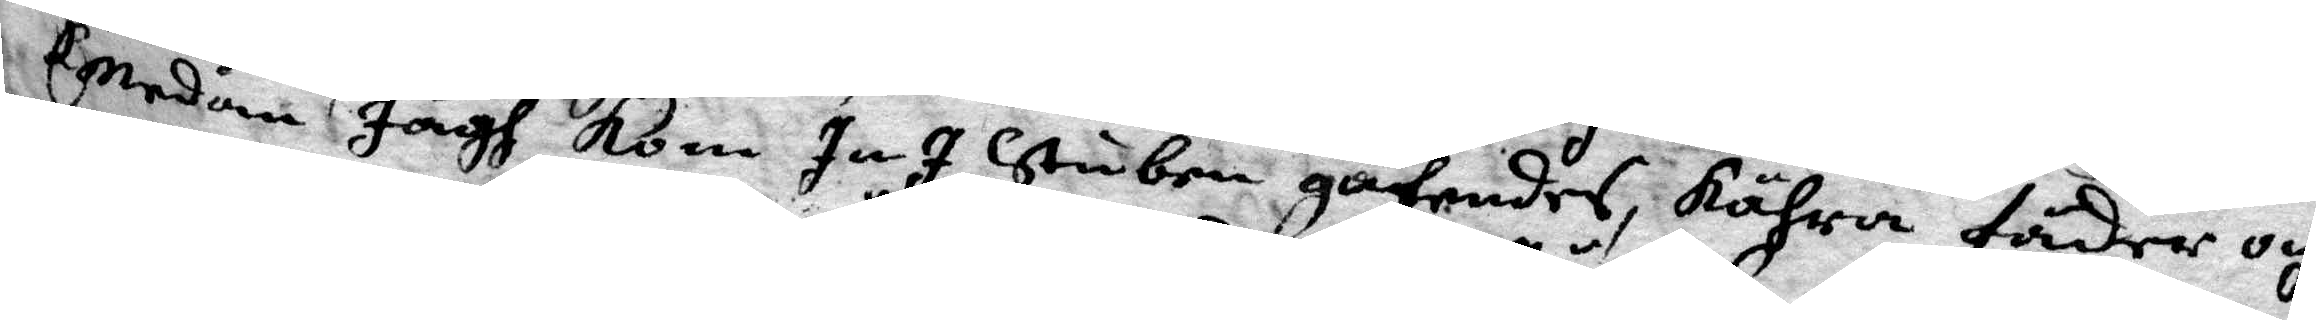Emedan Jägh kom In I Stuben gåhendes, Kähra fäder och
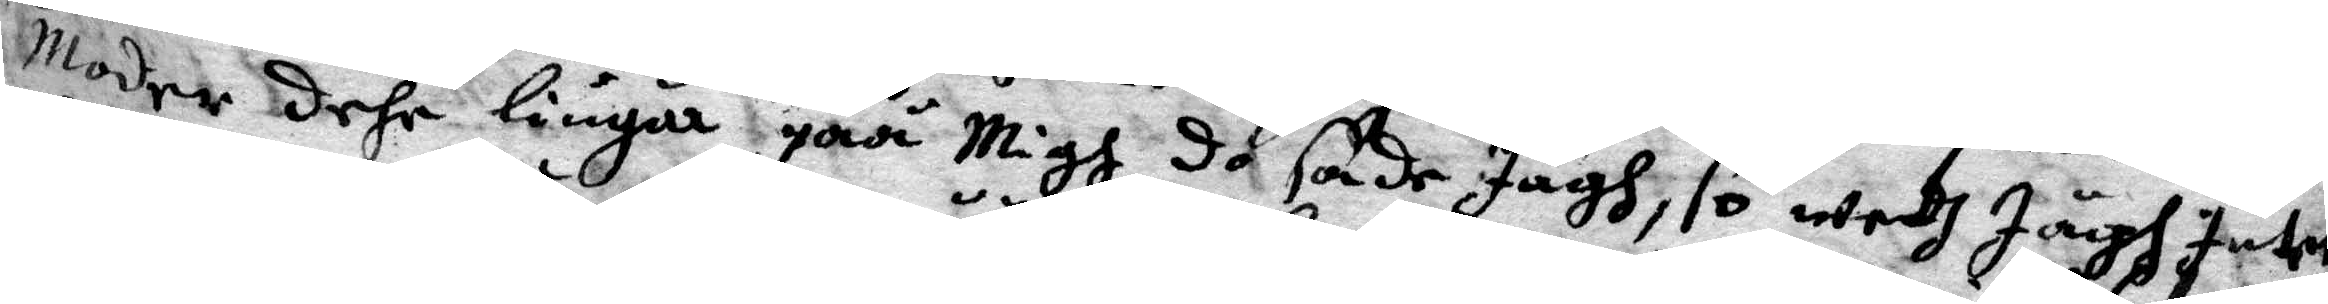Moder dehr liugär påå Migh do sade Jägh, so wedh Jägh Intet
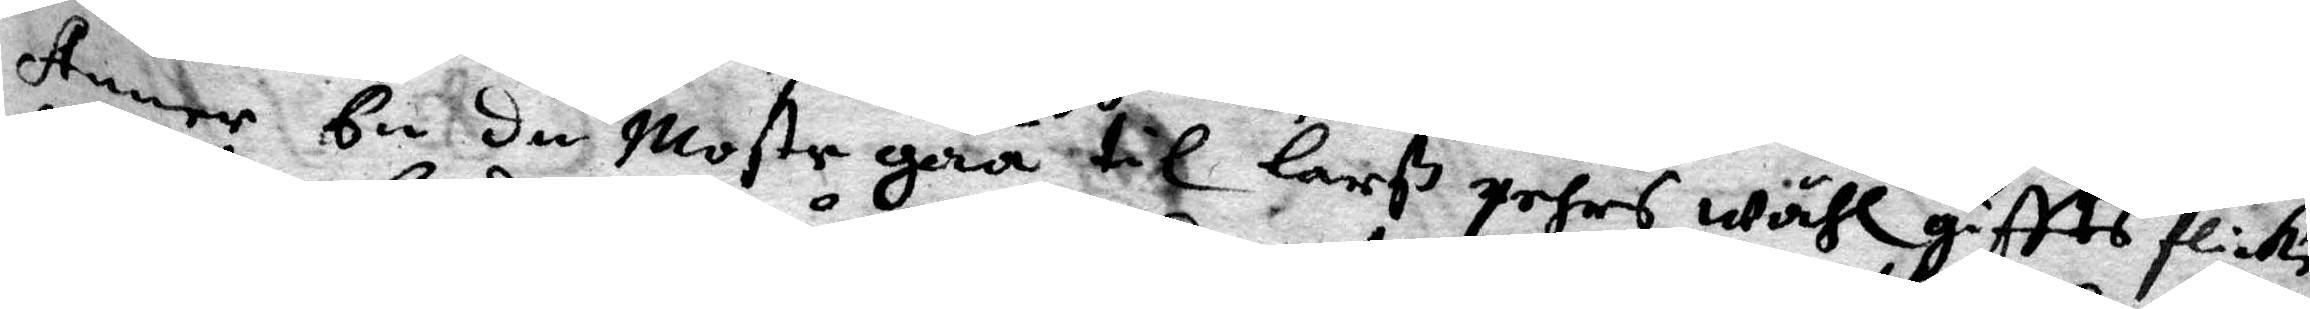Annor En du Moste gåå til Larß pehrs wählgiftts flicke
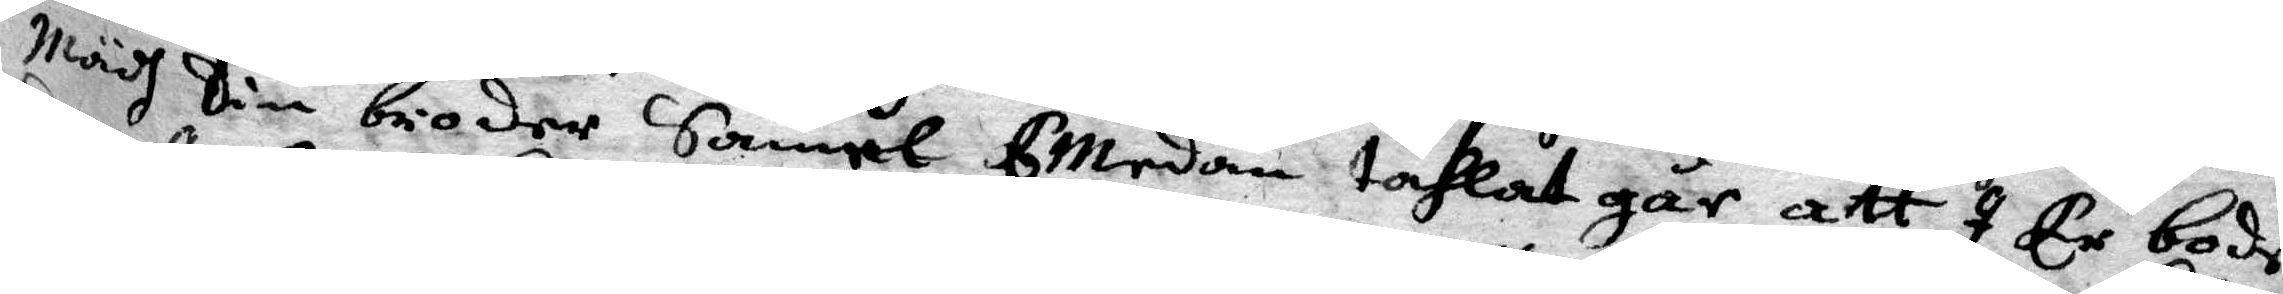mädh Din broder Såmel EMedan tahlet går att I Er bode
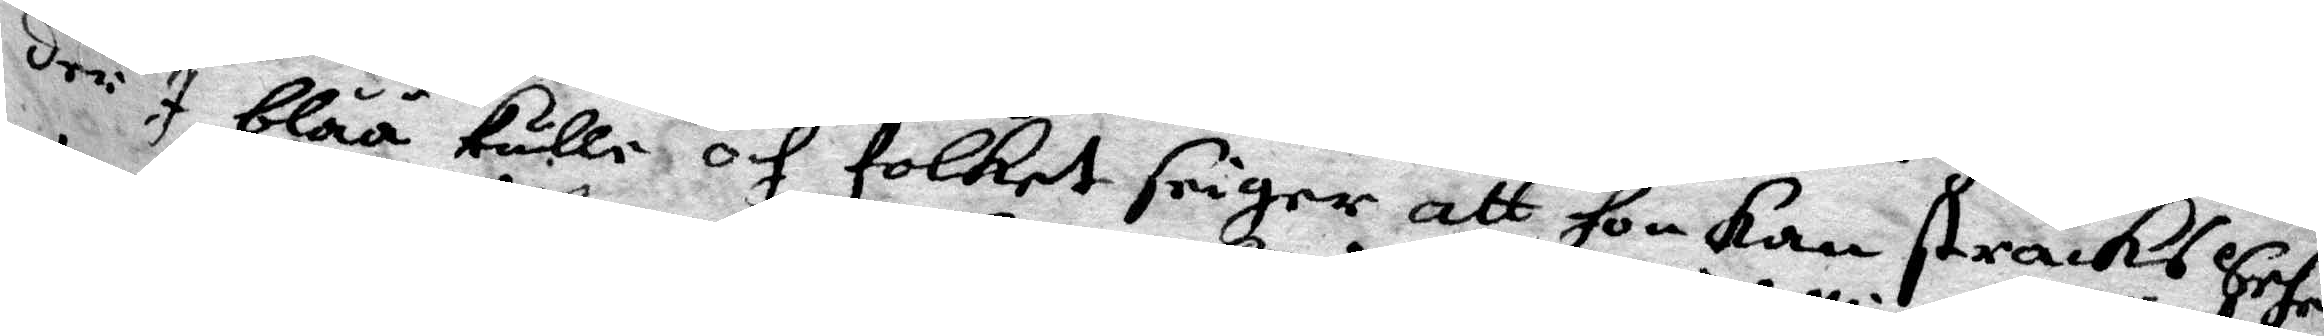der I blåå kulle och folket seiger att hon kan stracks Sehe
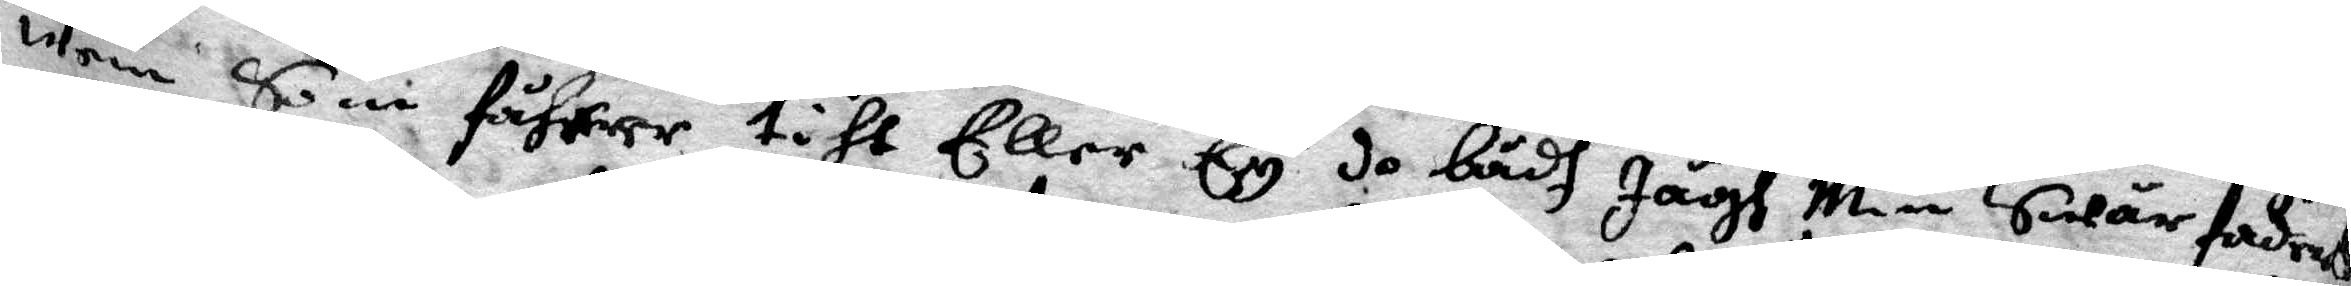wem Som fåhrer till Eller Ey do bådh Jagh Min Swärfaders
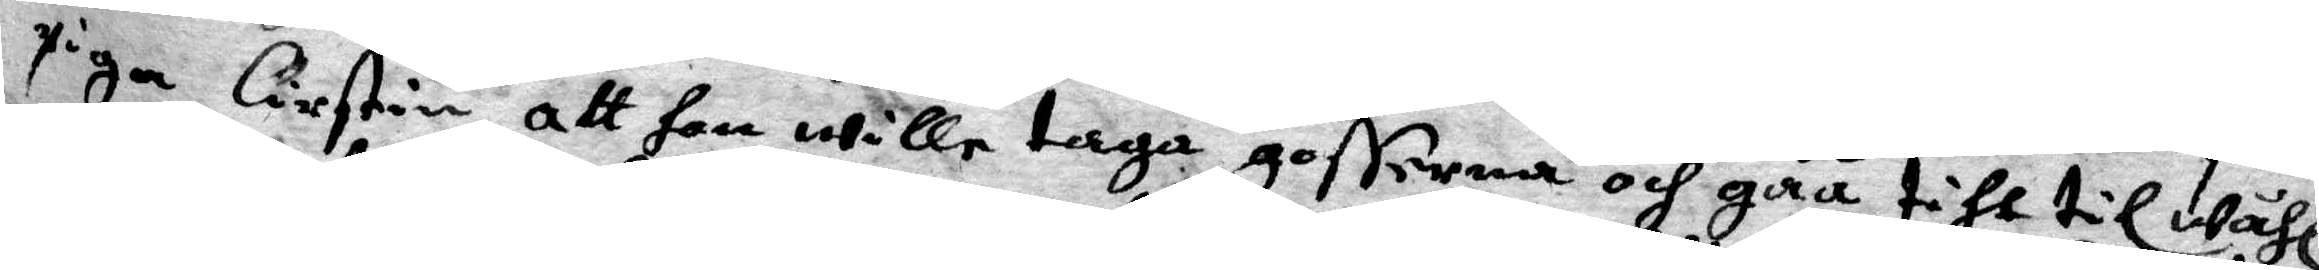piga Cirstin att Hon wille taga gosserna och gåå tihl wähl¬
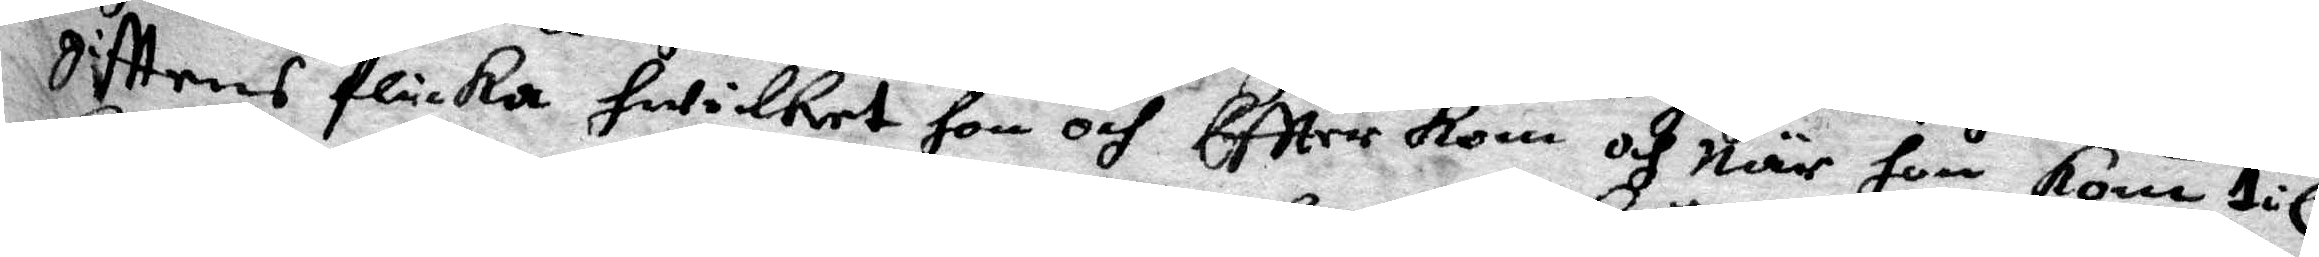gifttens flicka hwilket hon och Effter kom och när hon kom til¬
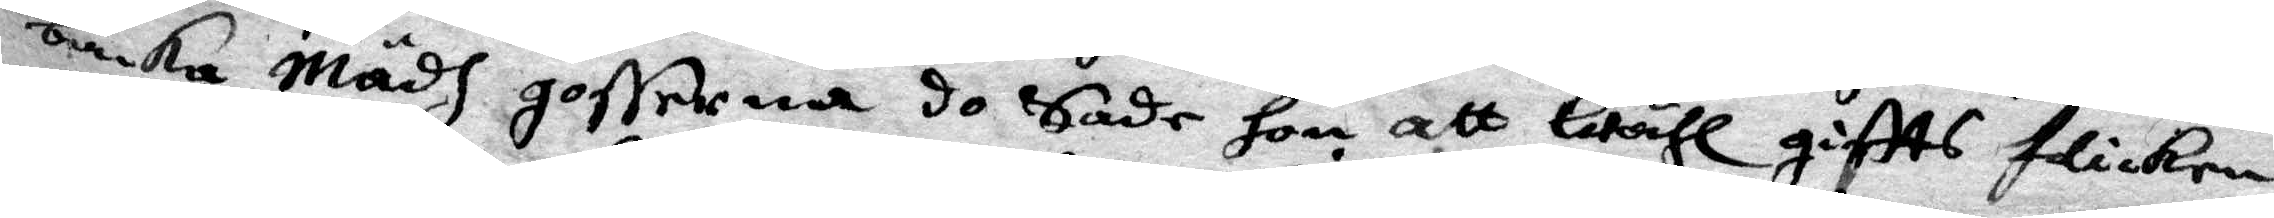backa Mädh gosserna do Sade hon att wähl giftts flickan
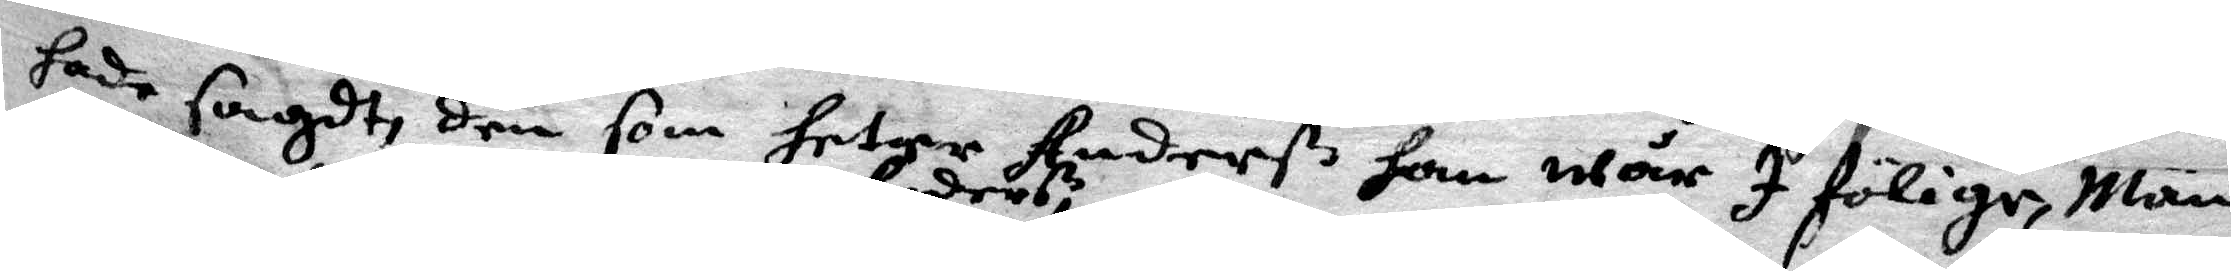hade sagdt, den som heter Anderß han wår i följe, Män
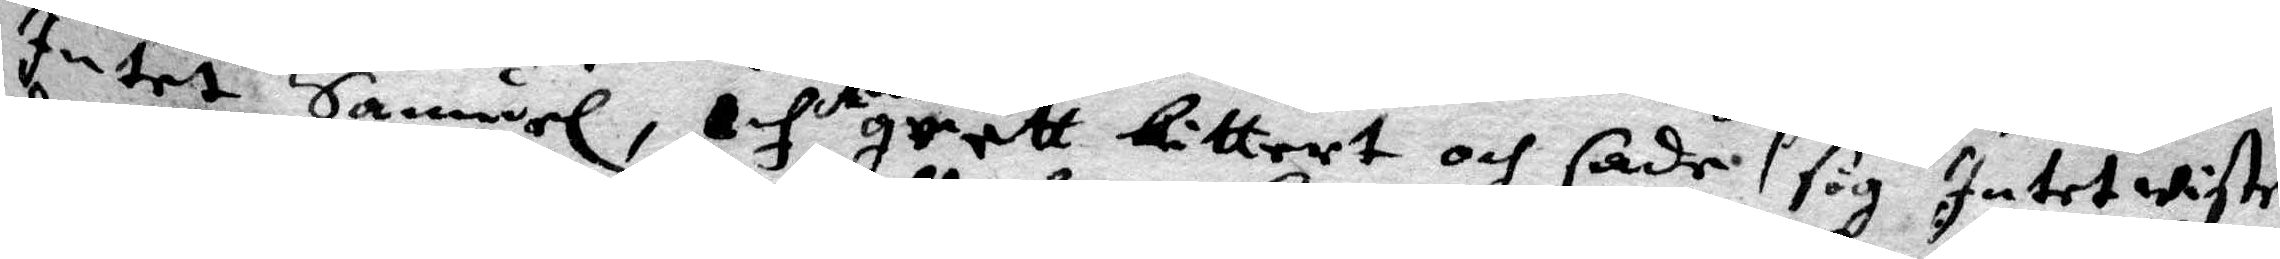Intet Samuel, och Anders grett bittert och sade sig Intet wiste
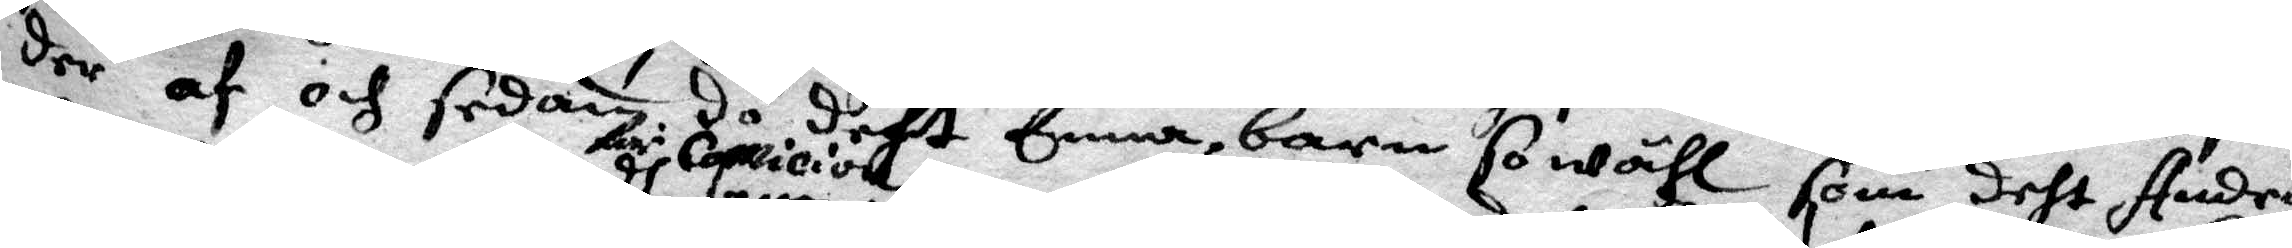der af och sedan do deht Enna barn so wähl som deht Andra
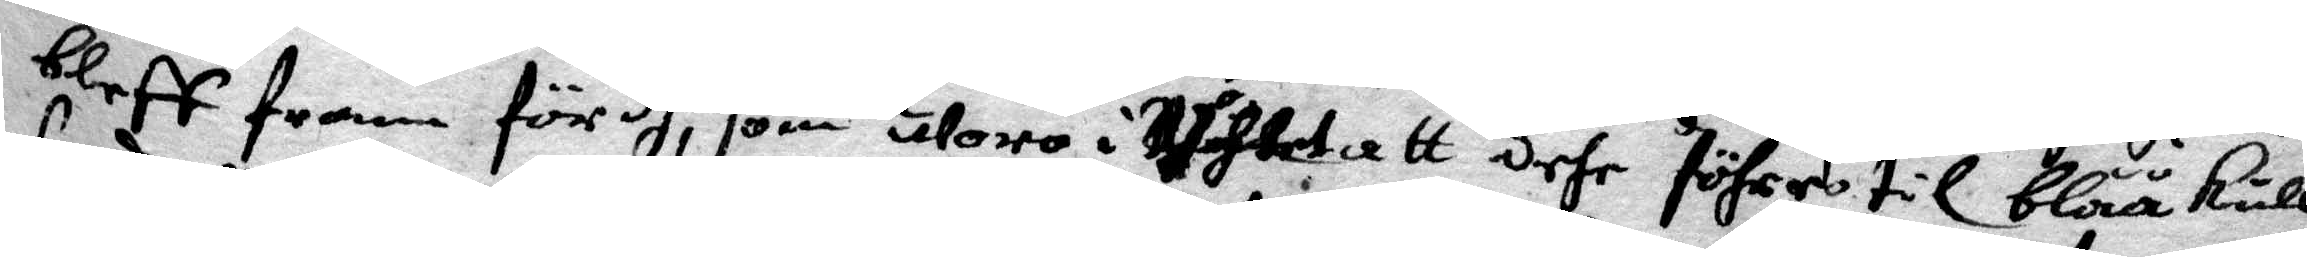bleff fram för dh comicion, som woro i tahlet att dehr föhres til blååkulle
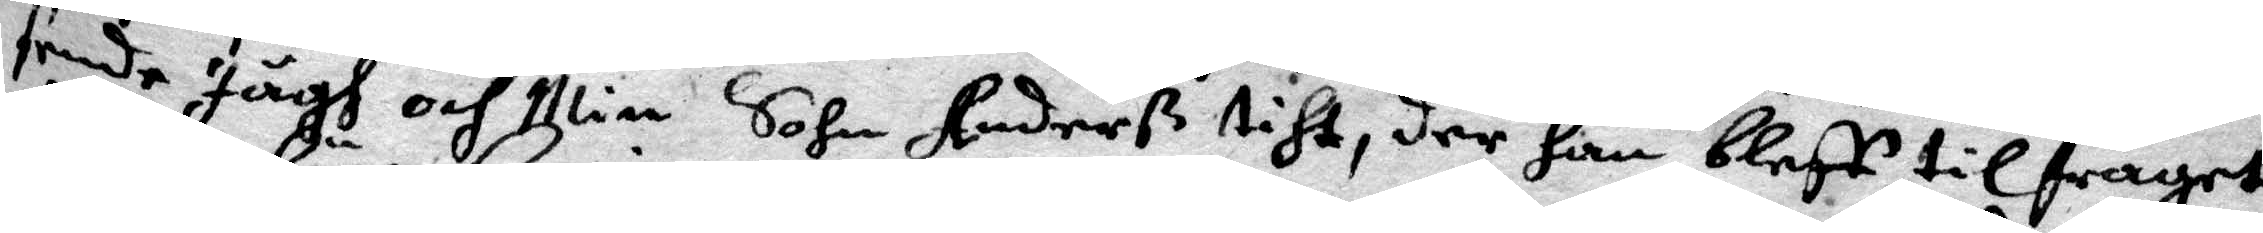sende Jagh och Min Sohn Andersß tiht, der han bleff tilfragat
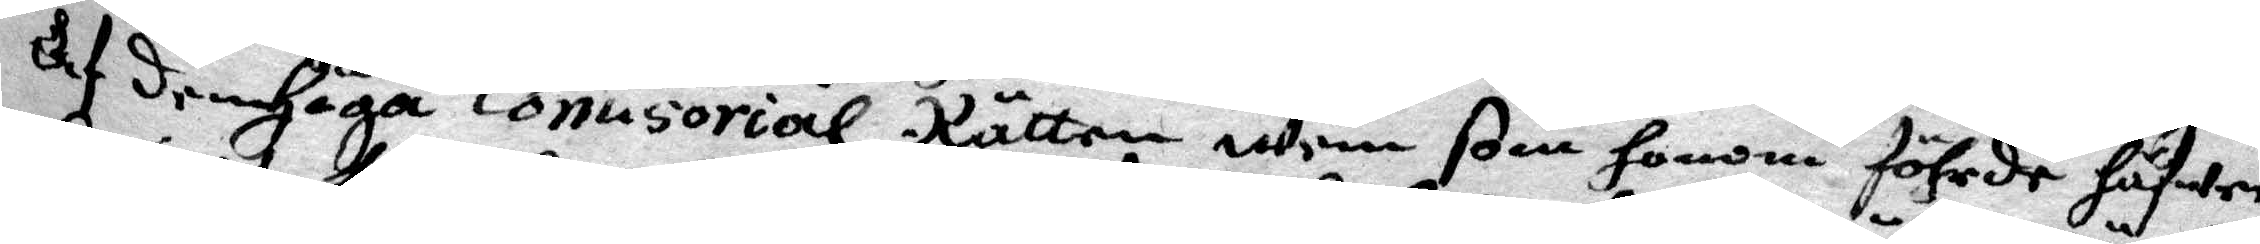af den Höga Comisorial Rätten wem som honom föhrde fäfwer
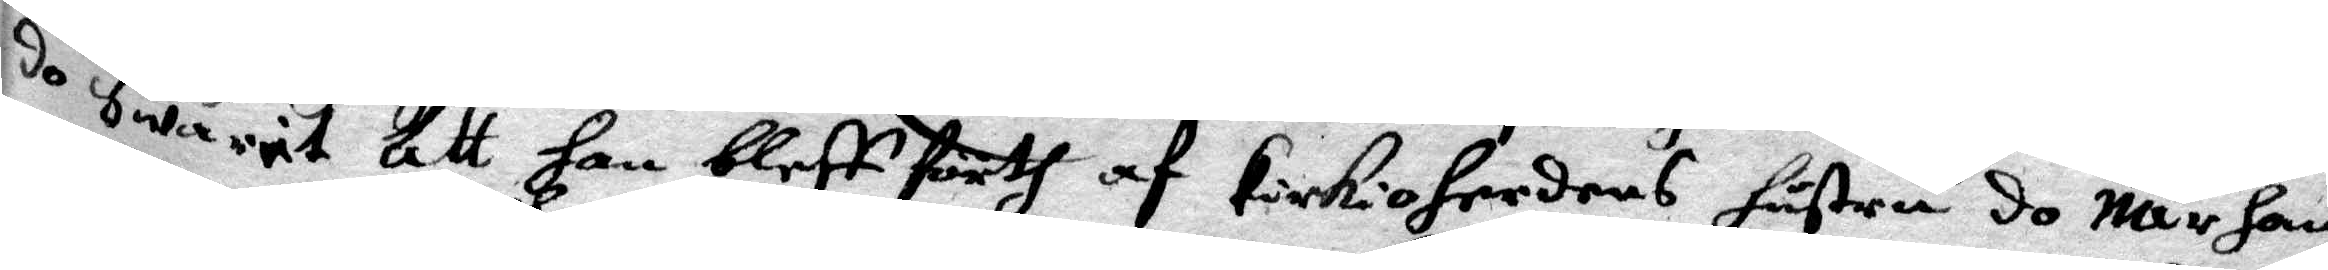do Swärit att han bleff förth af kirkioherdens hustru sp när han
